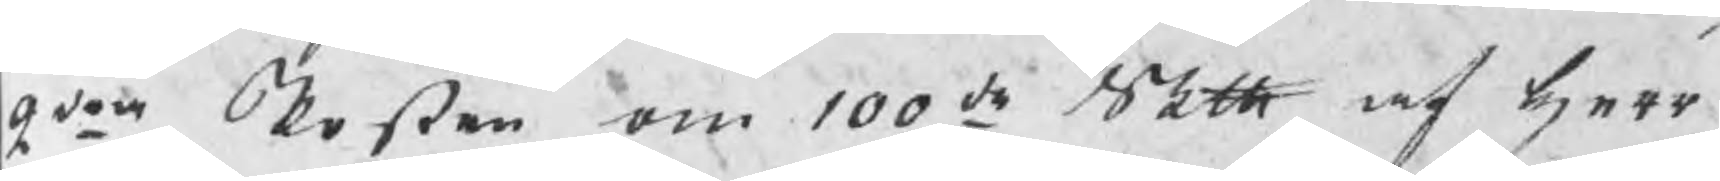2dra Posten om 100de Skth af herr
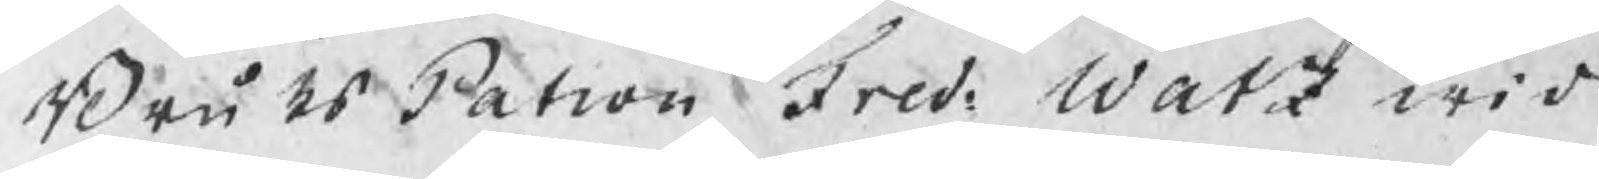BruksPatron Fred: Watz wid
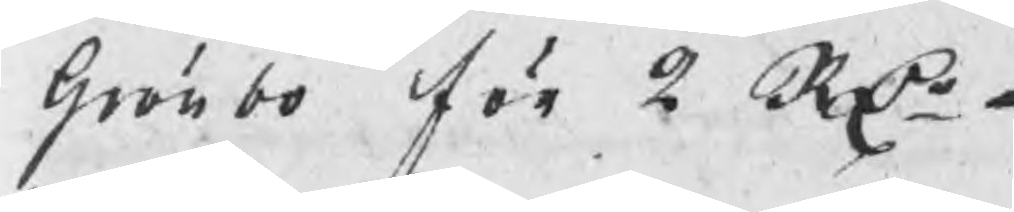Grönbo för 2 RDr
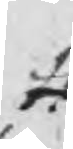#
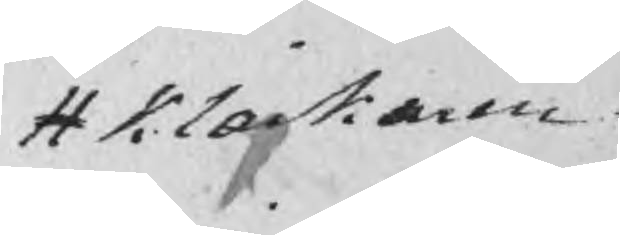# Klockaren
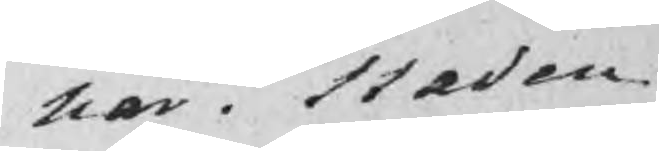har i Staden
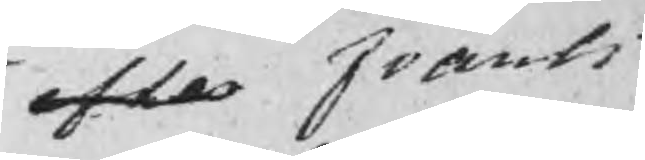efter Frants
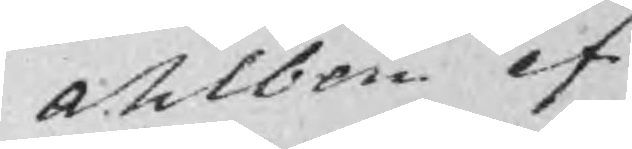Ahlbom ef¬
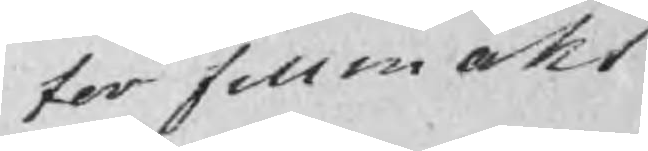ter fullmakt
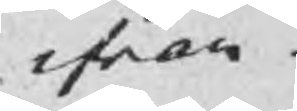ifran
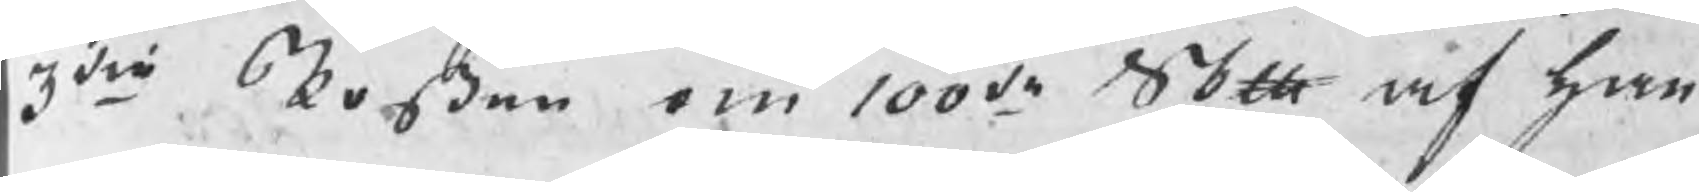3die Posten om 100de Skth af han¬
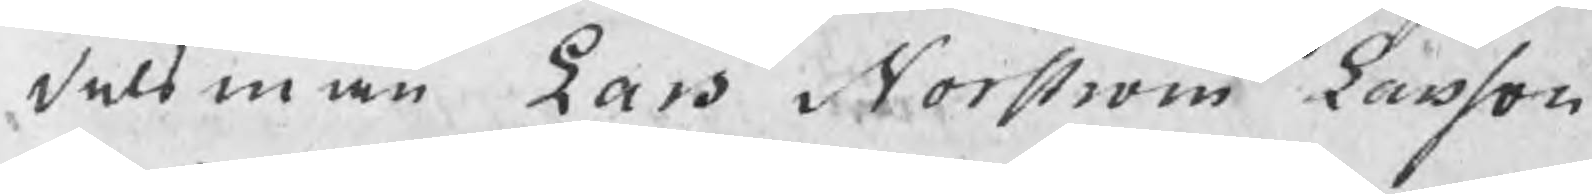delsman Lars Norström Larsson
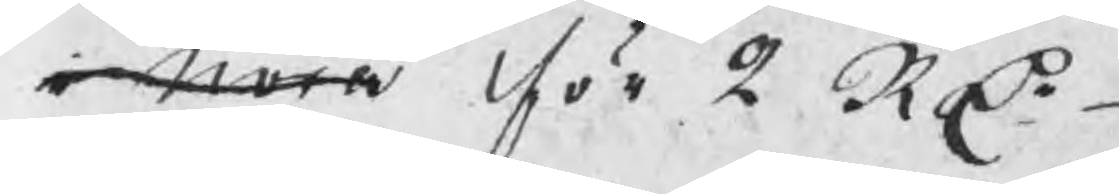i Nora för 2 RDr
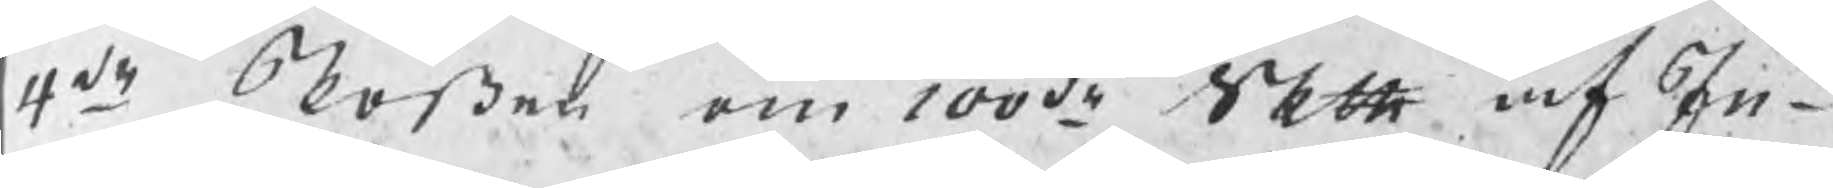4de Posten om 100de Skth af In¬
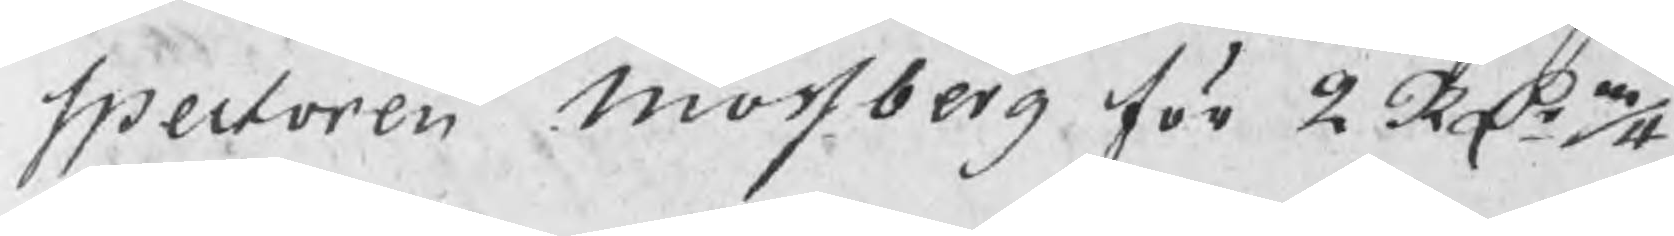spectoren Mossberg för 2 RDr 3/4
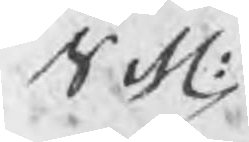Sch:
